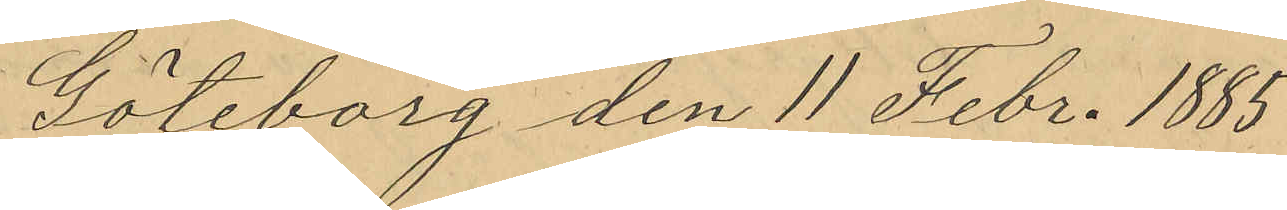Göteborg den 11 Febr. 1885.
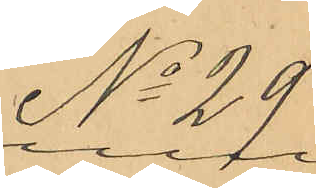No 29.
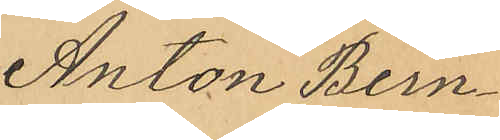Anton Bern¬
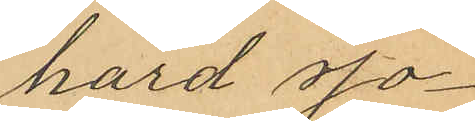hard Jo¬
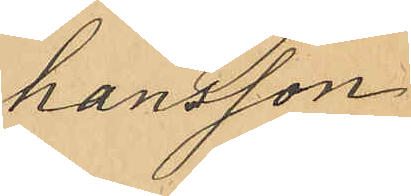hansson
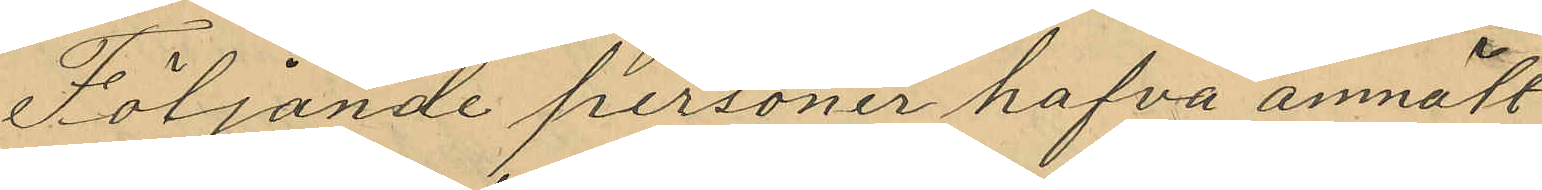Följande personer hafva anmält
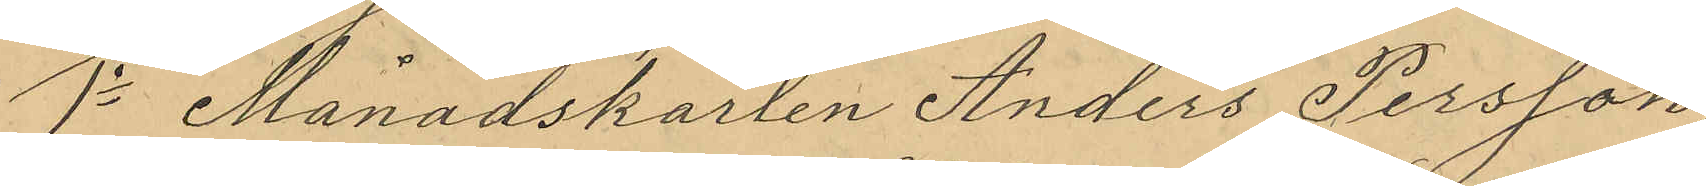1o Månadskarlen Anders Persson,
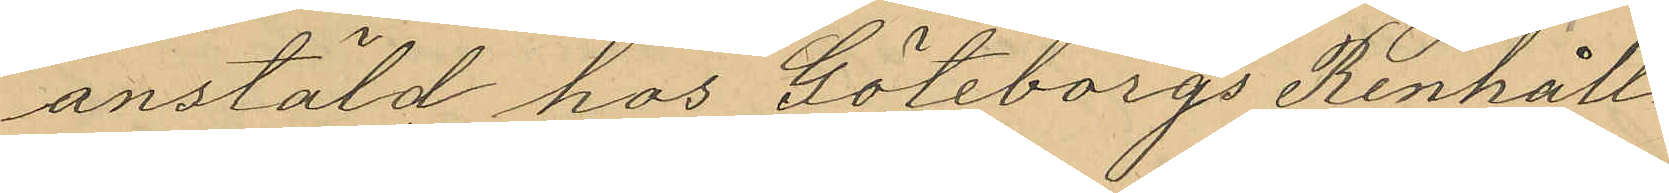anstäld hos Göteborgs Renhåll¬
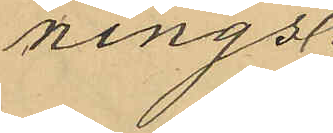nings¬
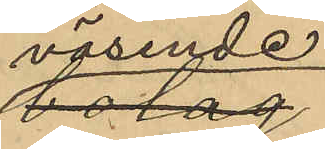väsende
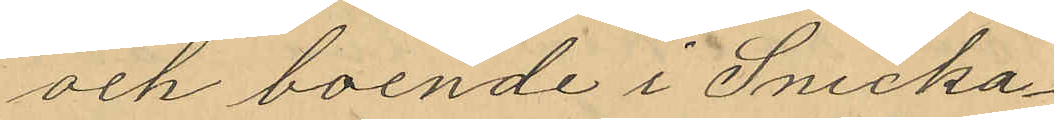och boende i Snicka¬
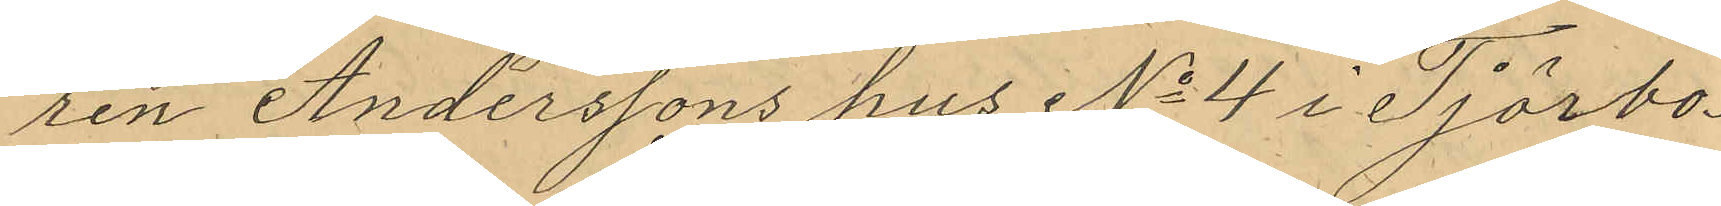ren Anderssons hus No 4 i Tjörbo¬
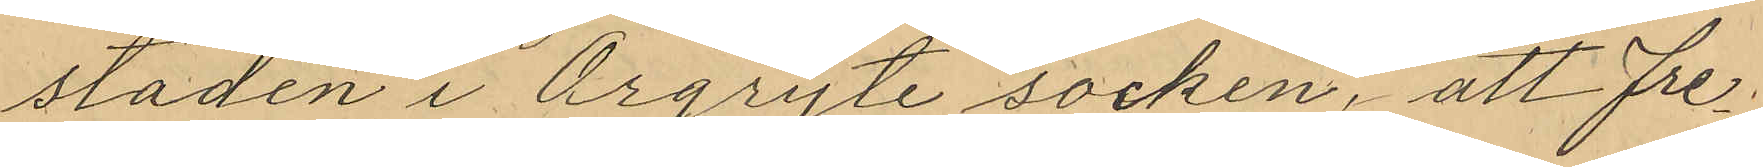staden i Örgryte socken, att fre¬
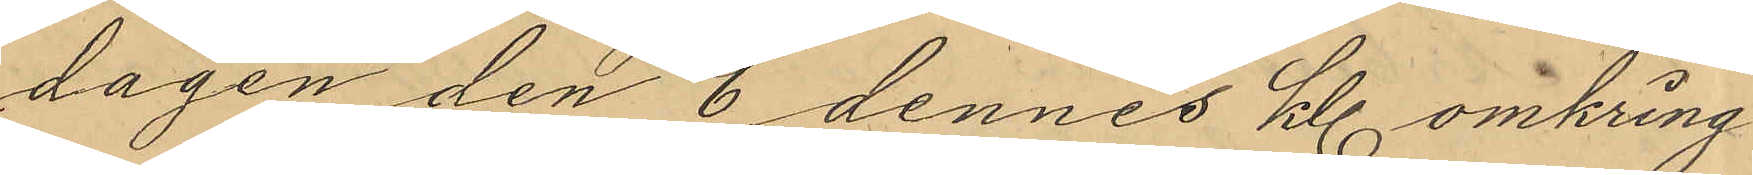dagen den 6 dennes kl. omkring
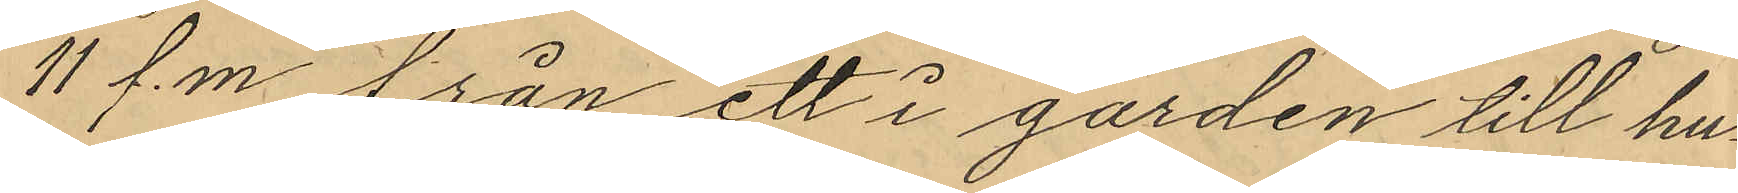11 f.m. från ett i gården till hu¬
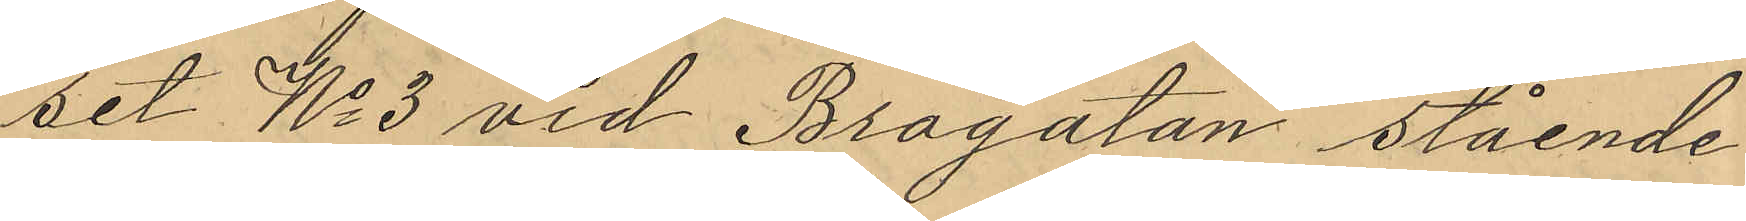set No 3 vid Brogatan stående
